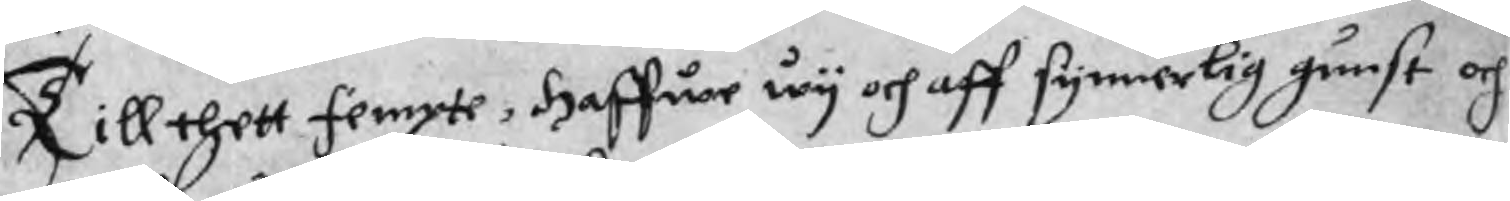Till thett fempte, Haffwe wy och aff synnerlig gunst och
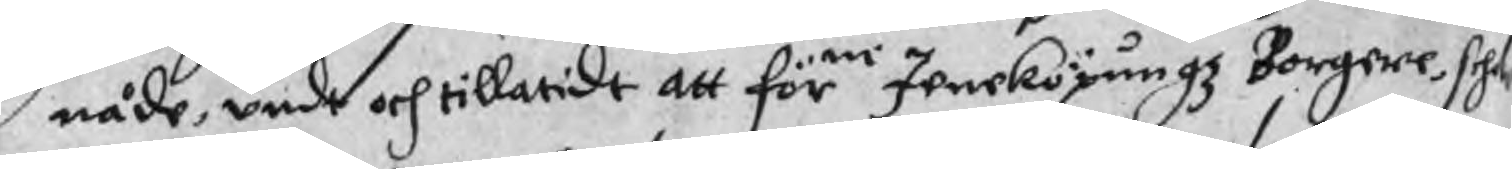nåde, undt och tillatidt att förne Jeneköpungz Borgere schole
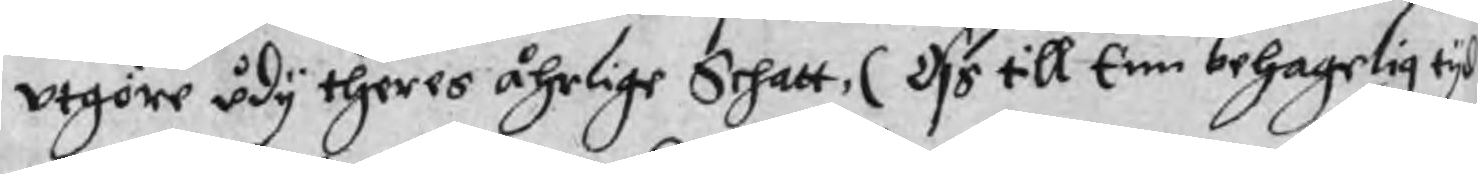utgöre udy theras åhrlige Schatt, ( Oss till Enn behagelig tyd
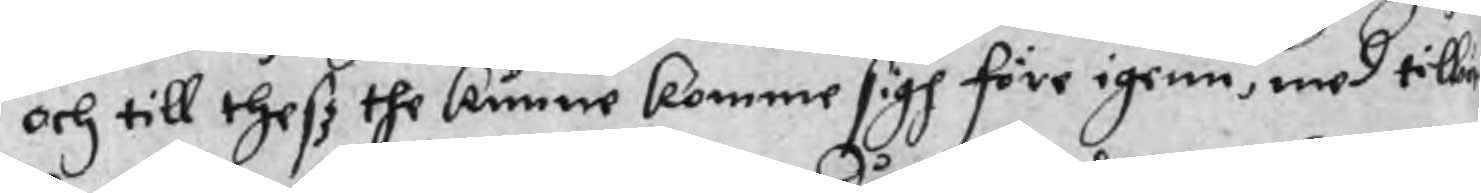och till thesz the kunne komme sigh före igenn, med tilla¬
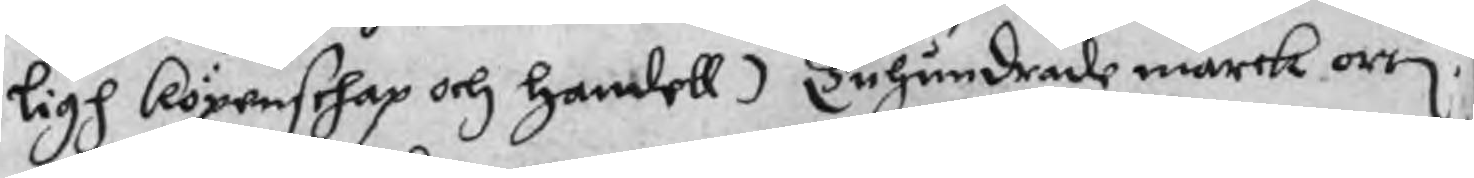ligh köpenschap och handell) Tuhundrade marck ortor
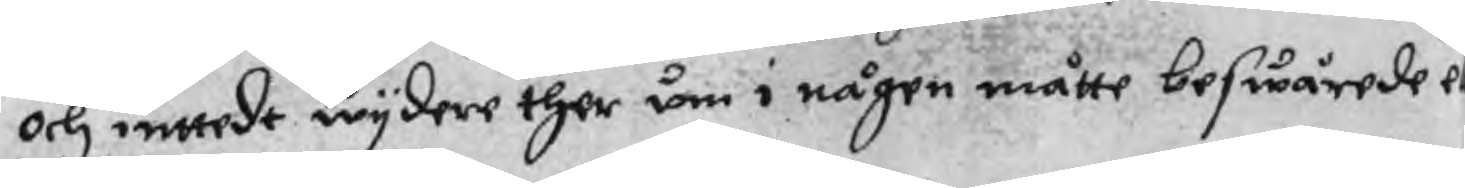och inttedt wydere ther um i någen måtte beswärede el
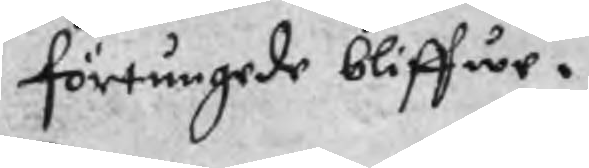förtungede bliffwe.
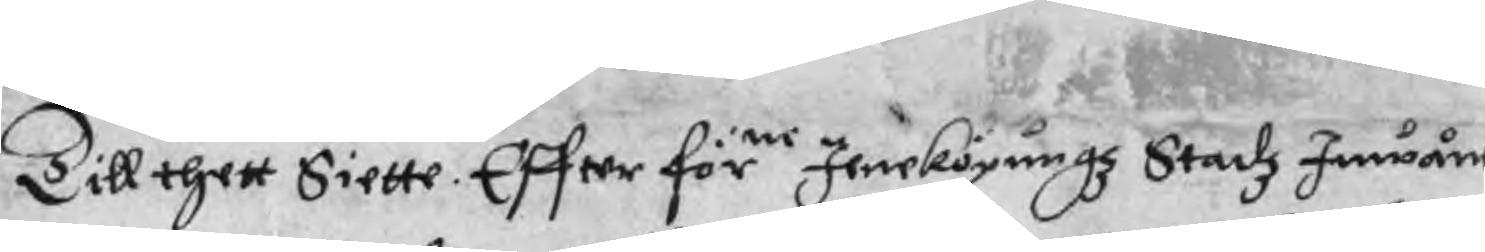Till thett Siette. Effter förne Jeneköpungz Stadz Innwånere
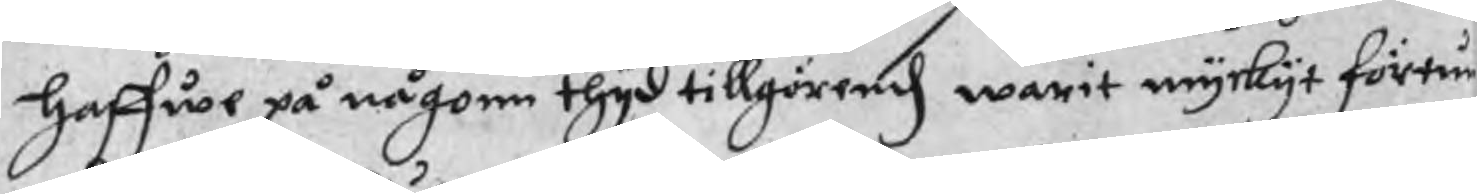haffwe på någonn thyd tillgörendz warit myckyt förtun¬
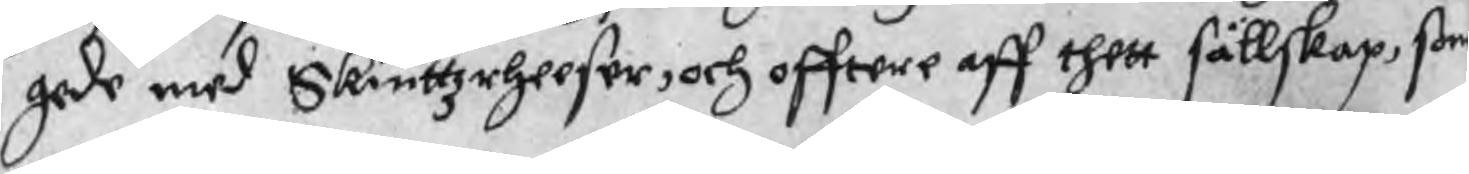gade med Skiuttzrheeser, och offtere aff thett sällskap, ßom
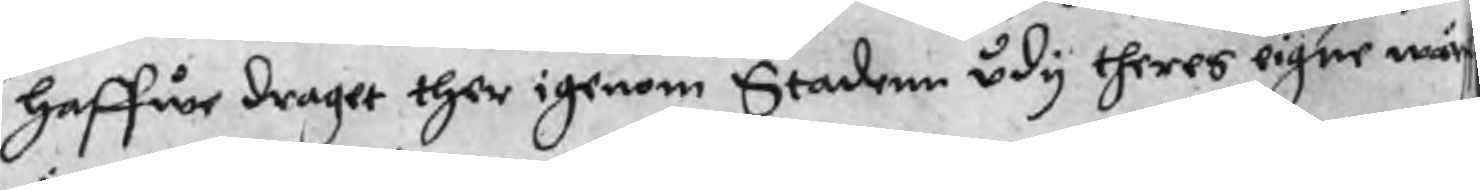haffwe draget ther igenom Stadenn udy theres eigne wär
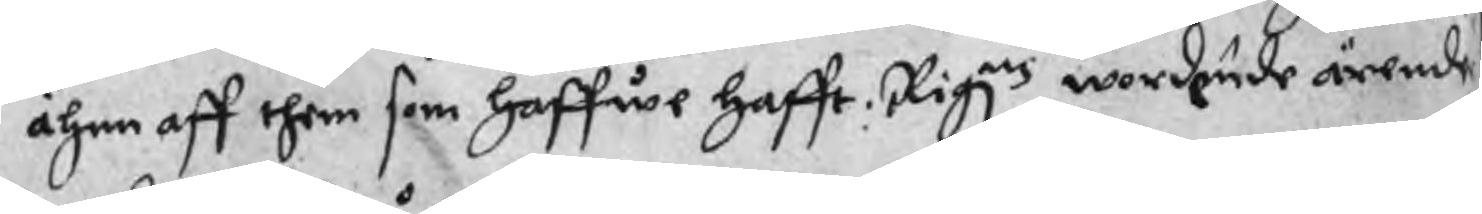ähnn aff them som haffwe hafft Rigznz wordende ärende
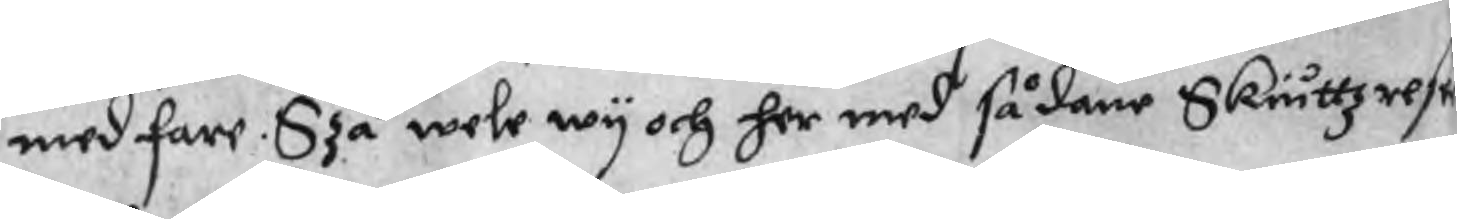med fare. Szå wele wy och her med sådane Skiuttzrese
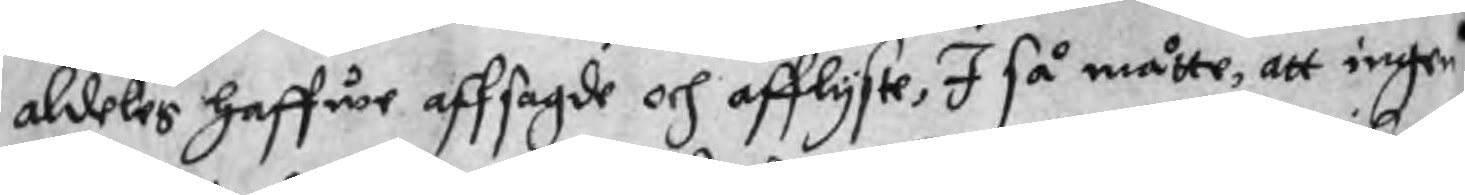aldeles haffwe affsagde och afflyste, I så måtte, att ingen
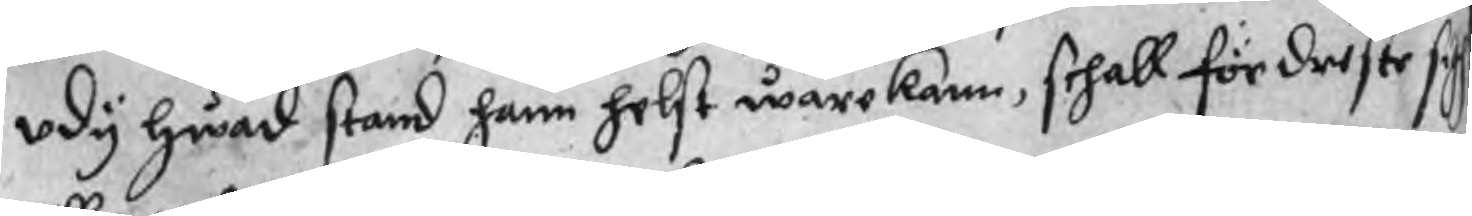udy hwad stand hann helst ware kann, schall för driste sig
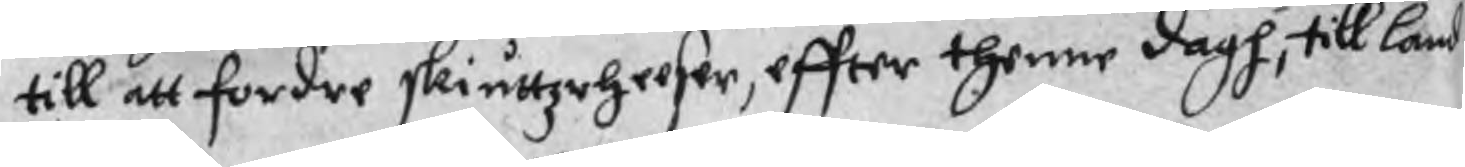till att fordre skiuttzrheeser, effter thenne dagh, till land
